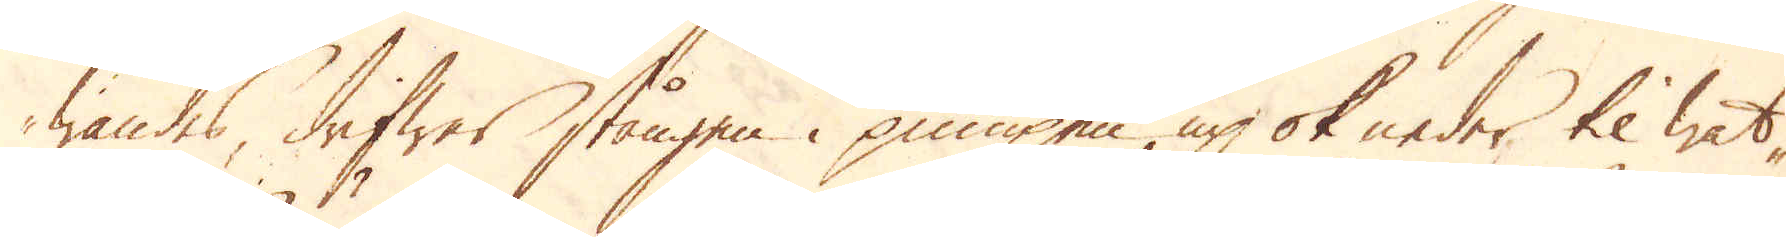wändes, drifwer stången i pumpen, up ok neder til wat-
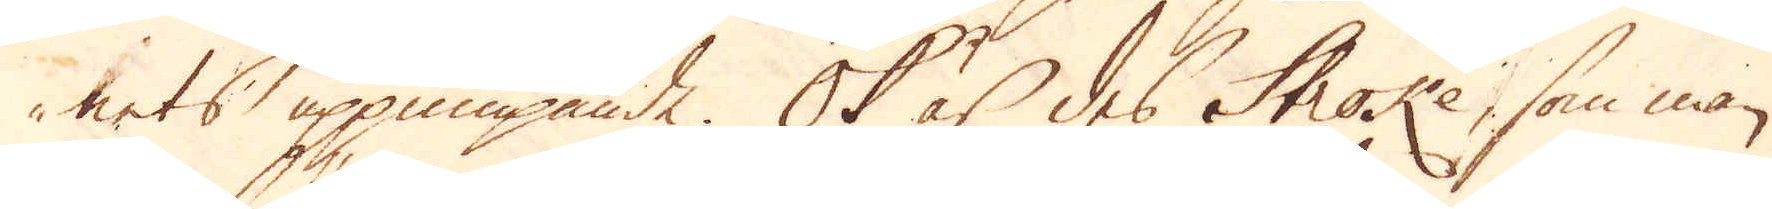nets uppumpande. Ok är des Stroke, som man
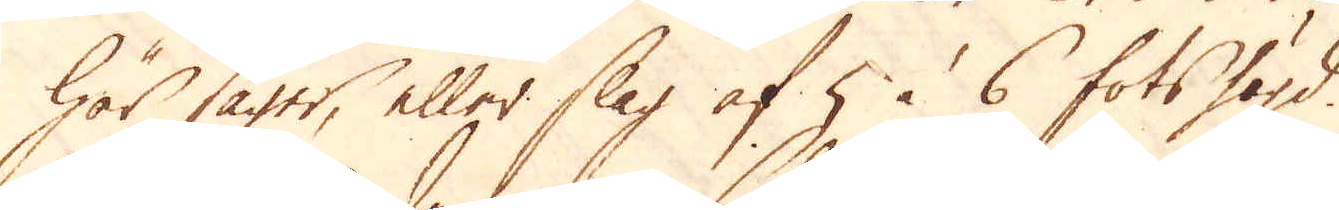här säger, eller slag af 5 à 6 fots högd.
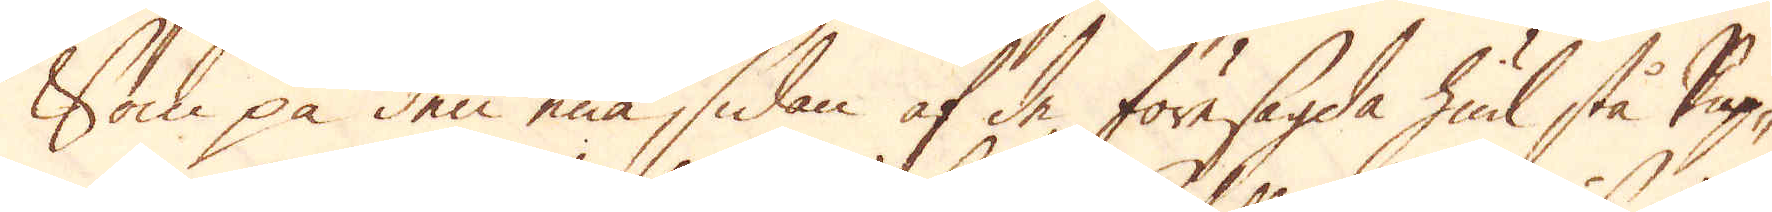Som på den ena sidan af de föresagda hiul stå kup-
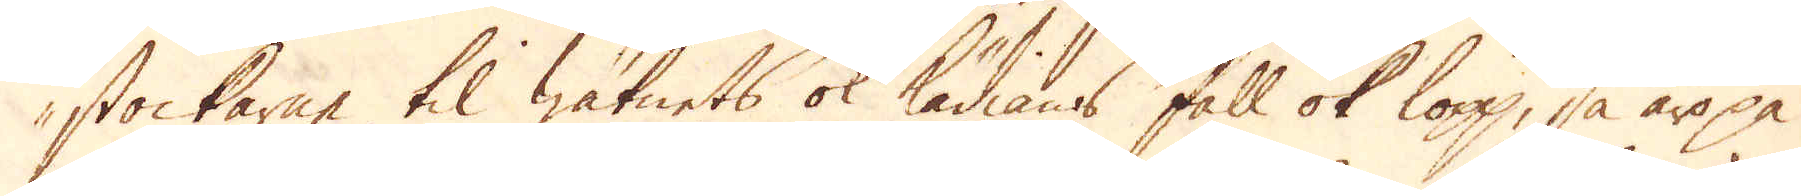stockarne til watnets ok kädians fall ok lopp, så äro på
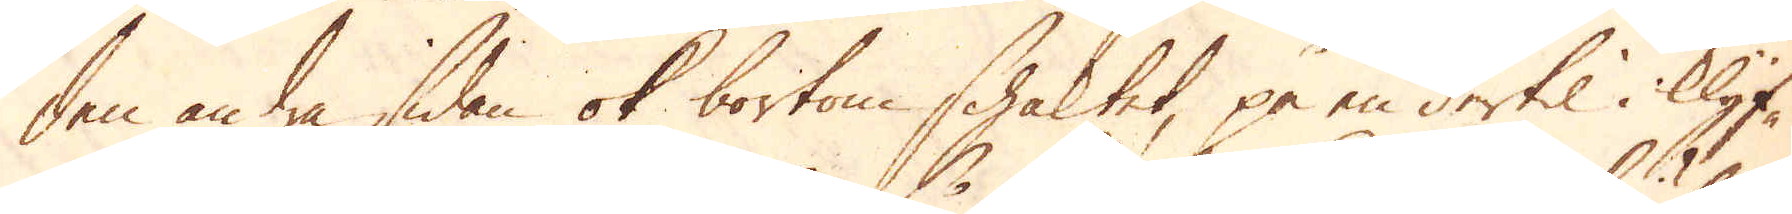den andra sidan ok bortom schaktet, på en dertil i Klyf-
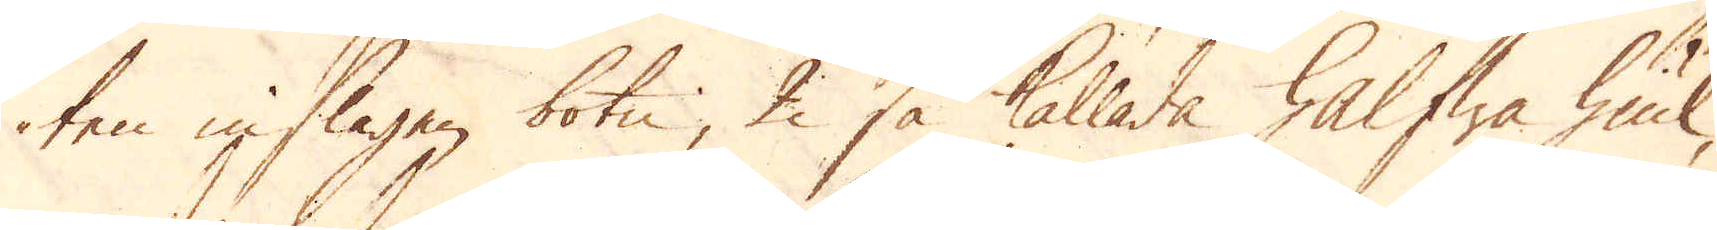ten inslagen botn, 2 så kallade halfwa hiul,
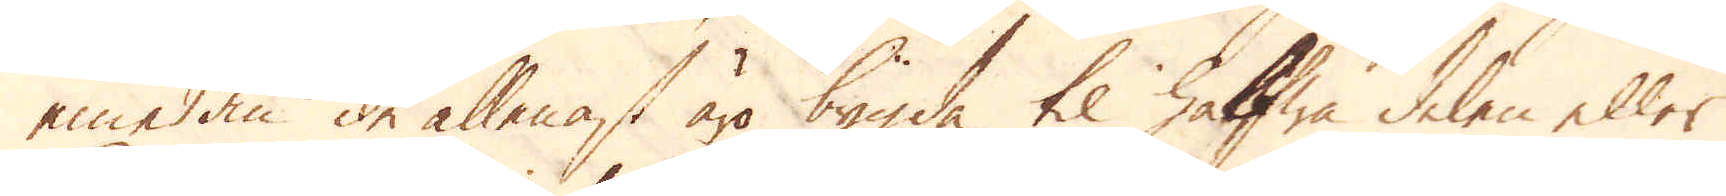emedan de allenast äro bygda til halfwa delen eller
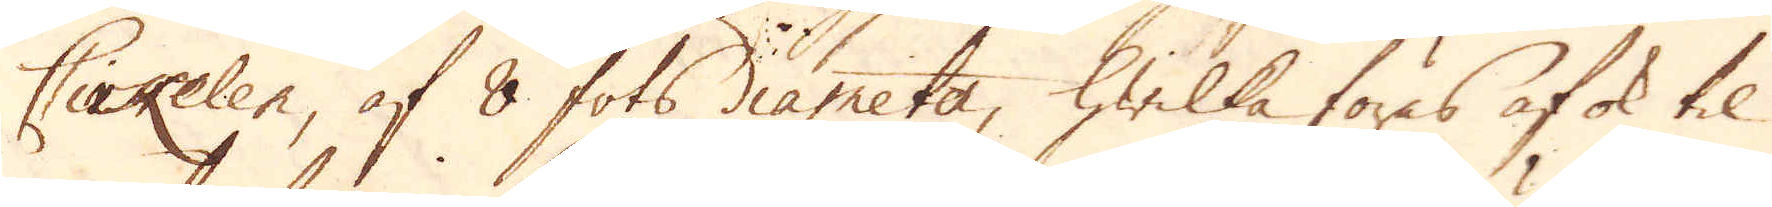Cirkelen, af 8 fots diameter, hwilka föres af ok til
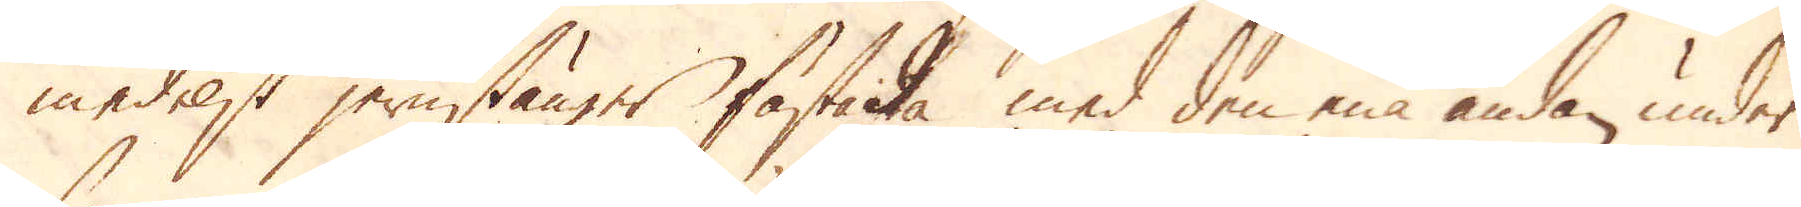medelst jernstänger fästade med den ena ändan, under
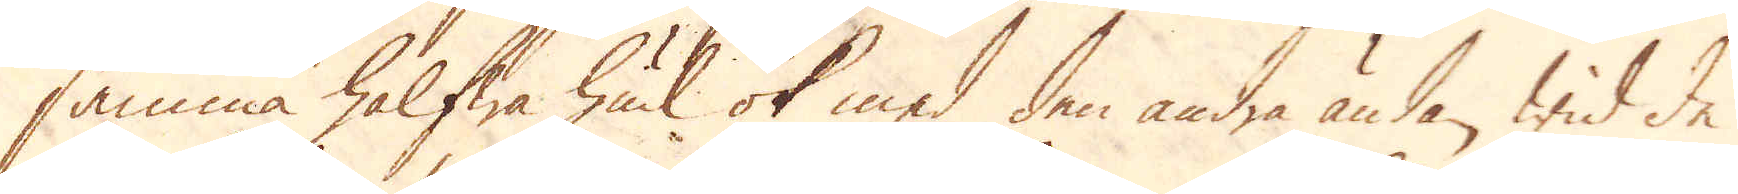samma halfwa hiul ok med den andra ändan wid de
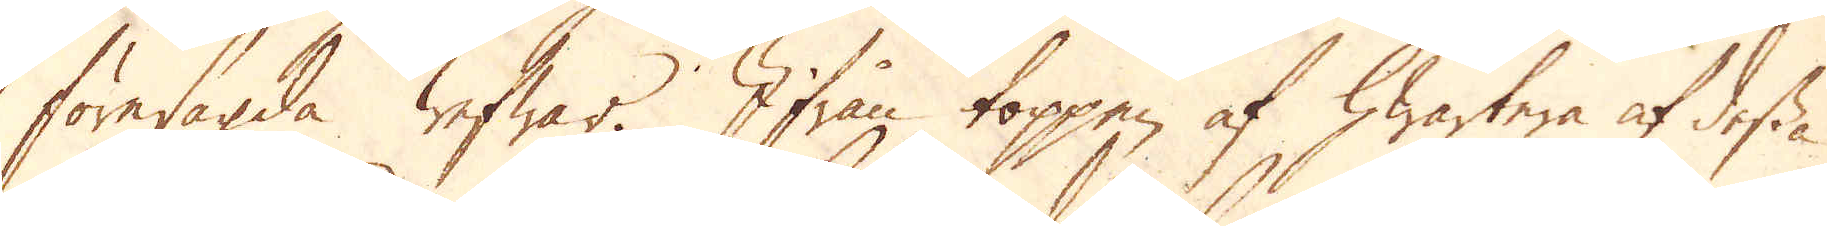föresagda wefwar. Ifrån toppen af hwartera af dessa
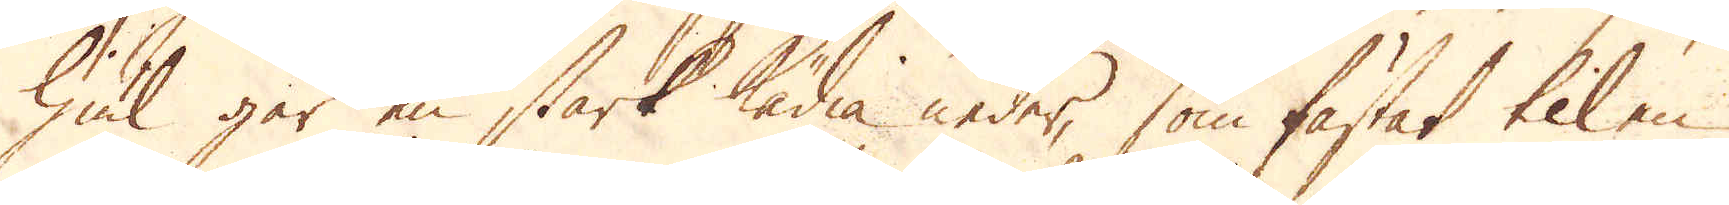hiul går en stark kädia neder, som fästat til en
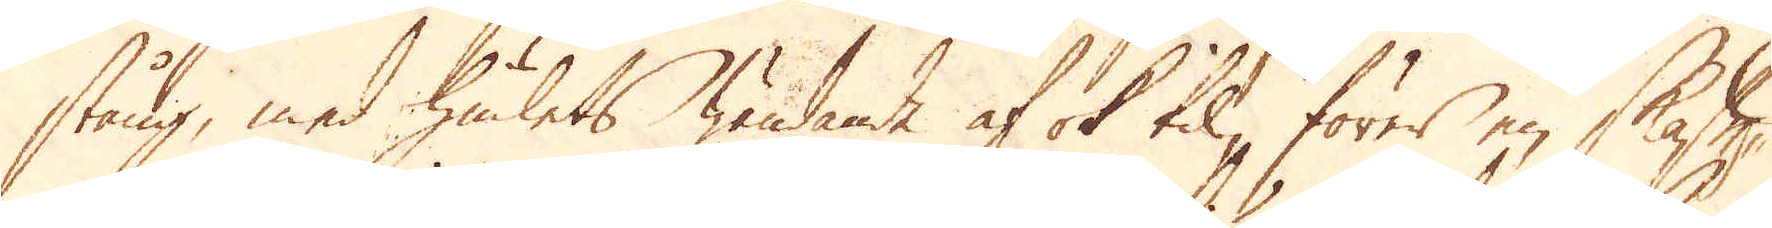stång, med hiulets wändande af ok til, förer en skaffe-
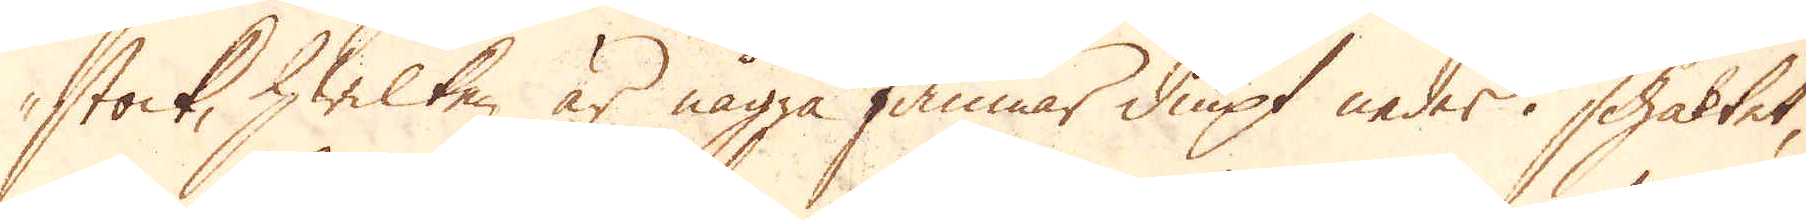stock, hwilken är några famnar diupt neder i schaktet,
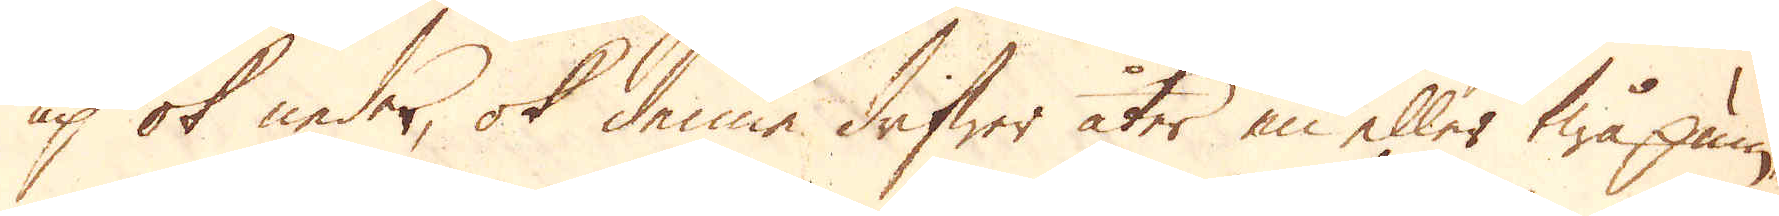up ok neder, ok denne drifwer åter en eller twå pum-
